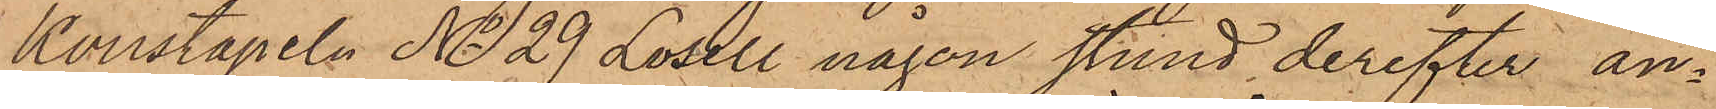Konstapeln No 29 Losell någon stund derefter an¬
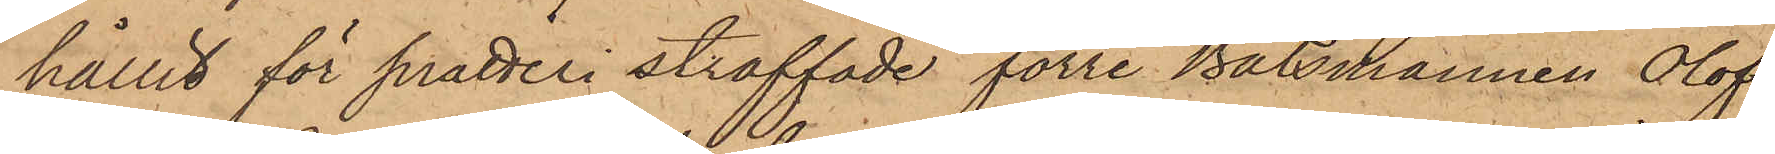hållit för snatteri straffade förre Båtsmannen Olof
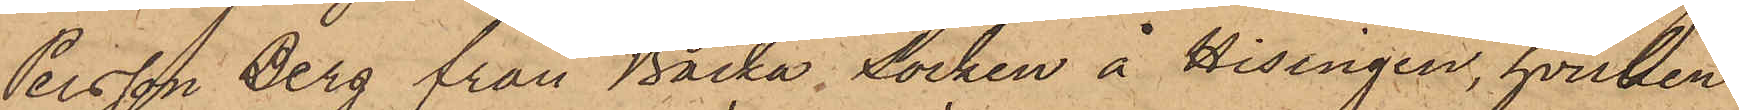Persson Berg från Backa Socken å Hisingen, hvilken
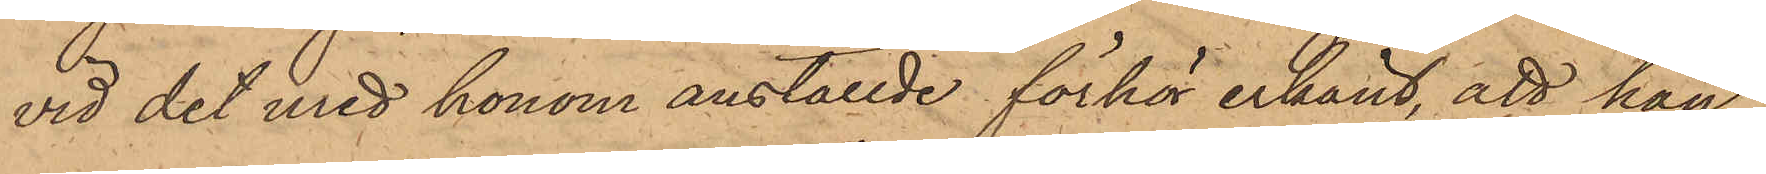vid det med honom anställde förhör erkänt, att han,
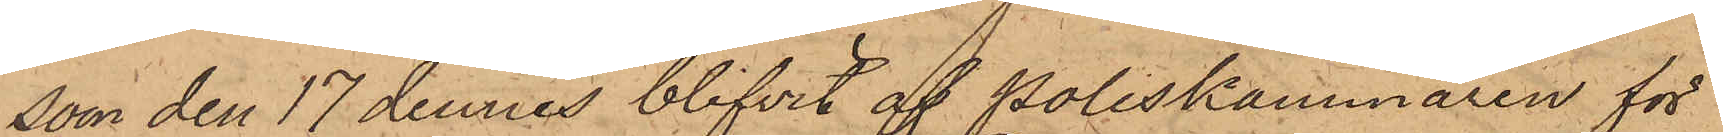som den 17 dennes blifvit af Poliskammaren för
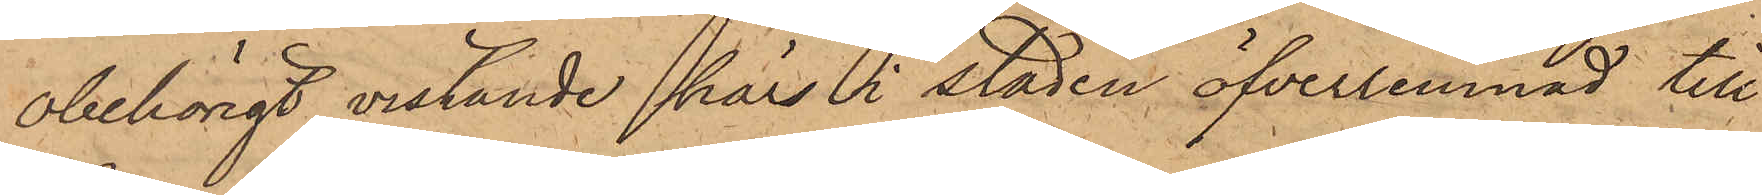obehörigt vistande här i staden öfverlemnad till
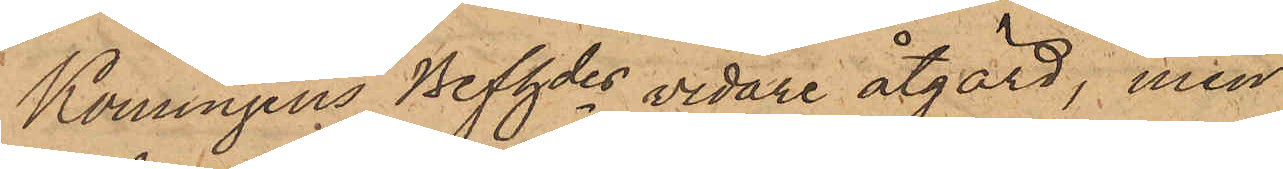Konungens Befhdes vidare åtgärd, men
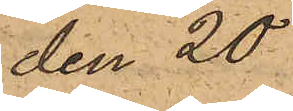den 20
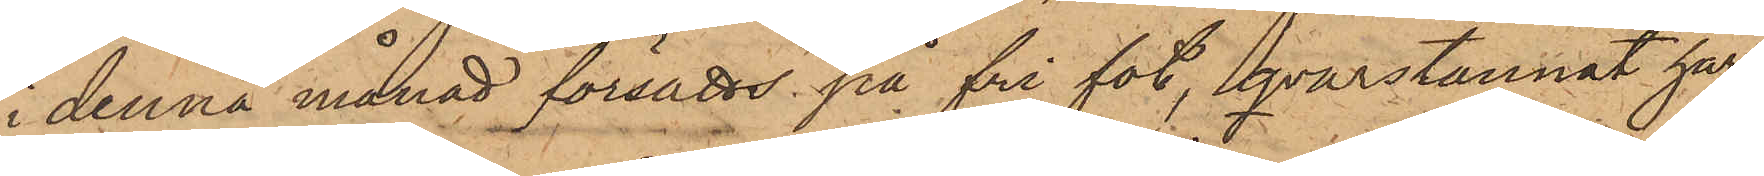i denna månad försatts på fri fot, qvarstannat här
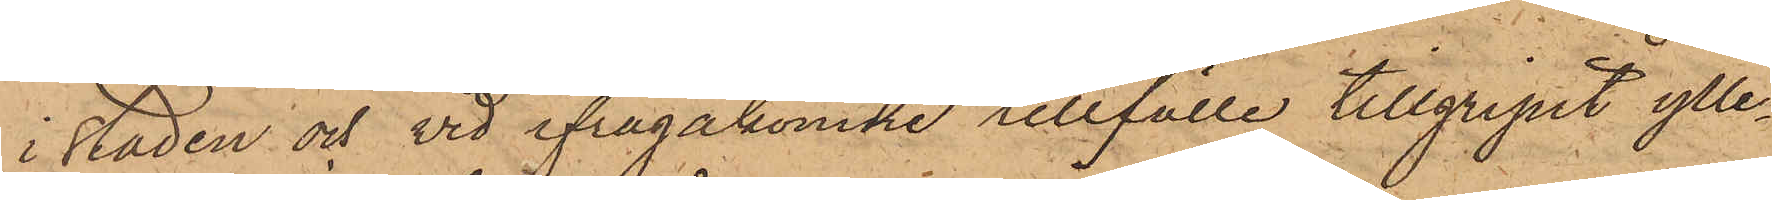i staden och vid ifrågakomne tillfälle tillgripit ylle¬
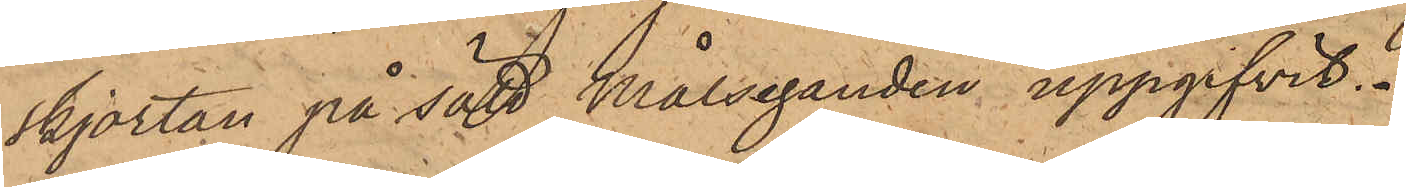skjortan på sätt Målseganden uppgifvit.
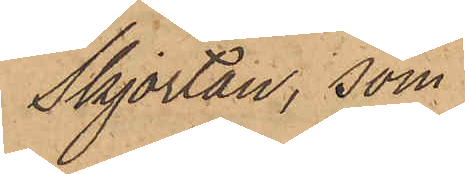Skjortan, som
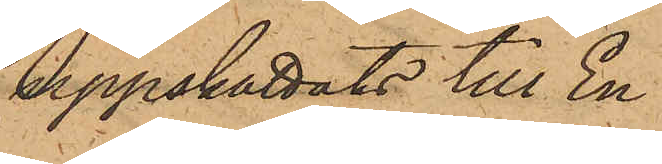uppskattats till En
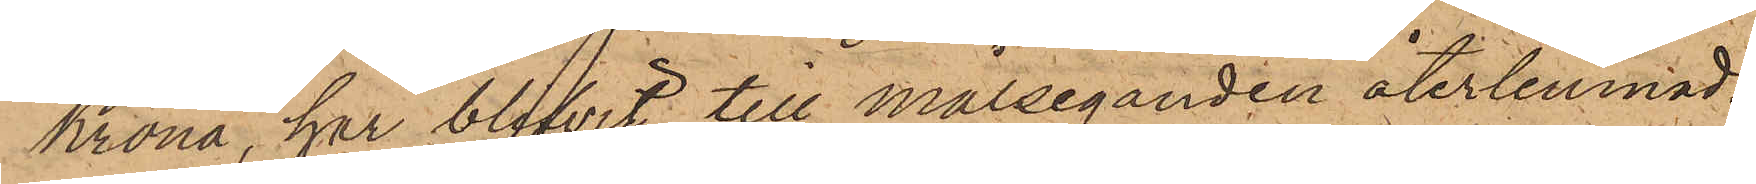Krona, har blifvit till Målseganden återlemnad.
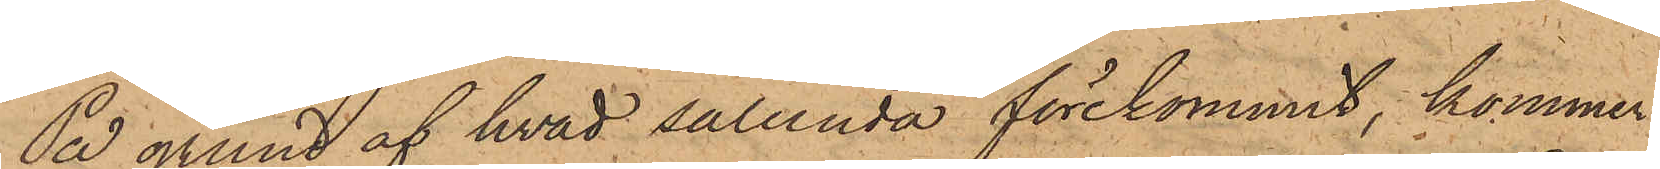På grund af hvad sålunda förekommit, kommer
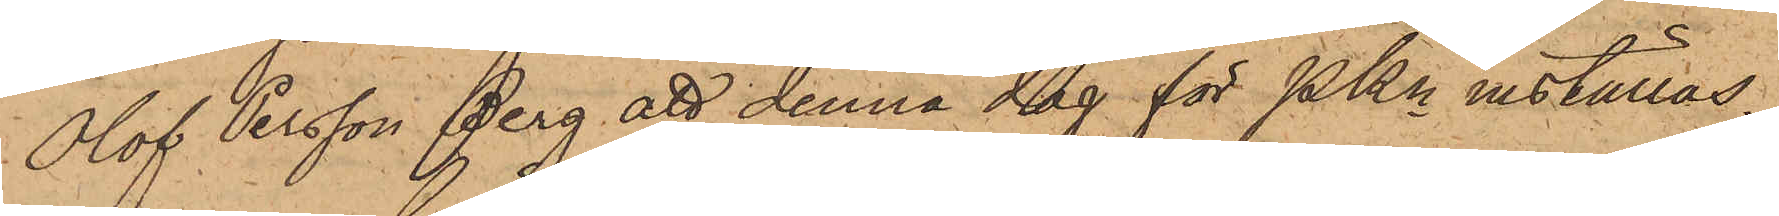Olof Persson Berg att denna dag för Pkn inställas.
